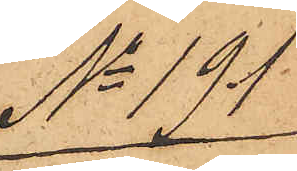No 191
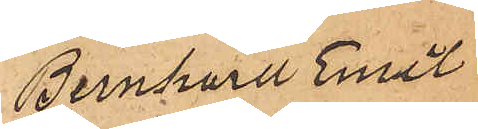Bernhard Emil
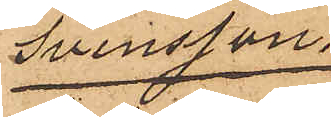Svensson.
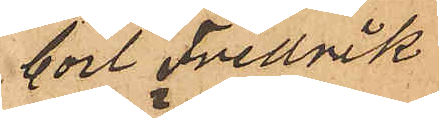Carl Fredrik
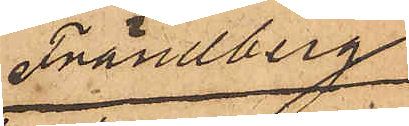Frändberg
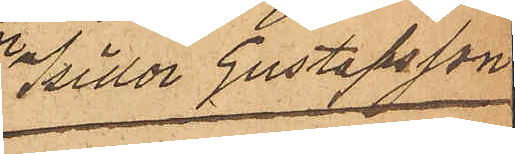Isidor Gustafsson
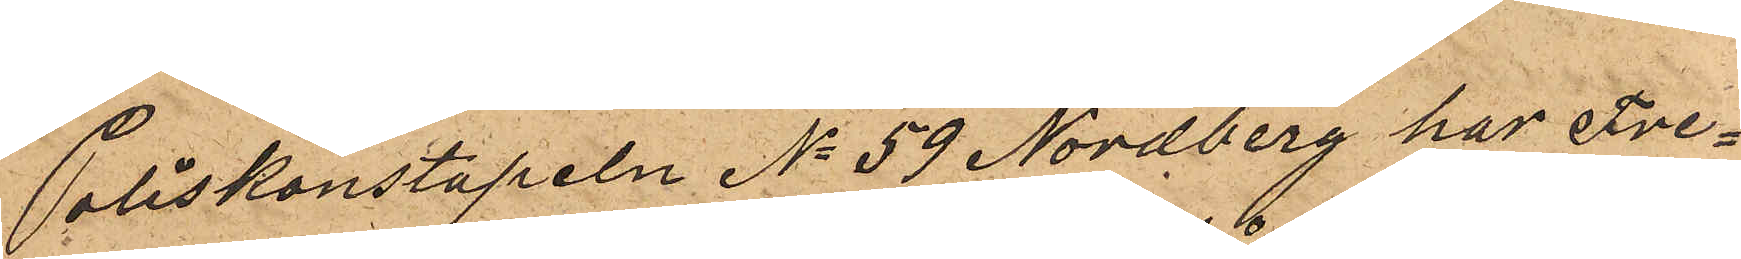Poliskonstapeln No 59 Nordberg har Fre¬
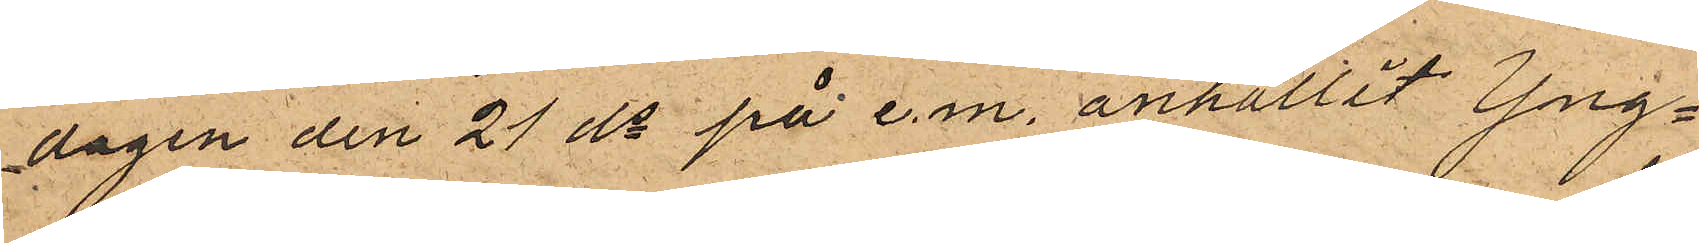dagen den 21 ds på e.m. anhållit Yng¬
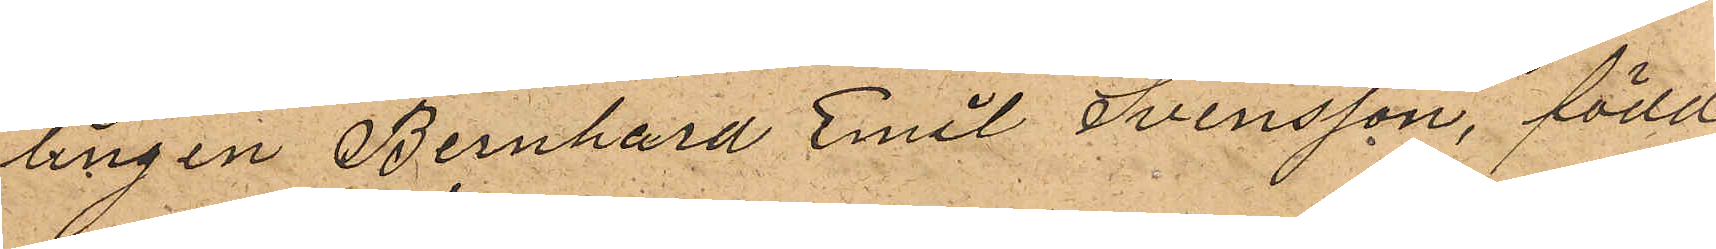lingen Bernhard Emil Svensson, född
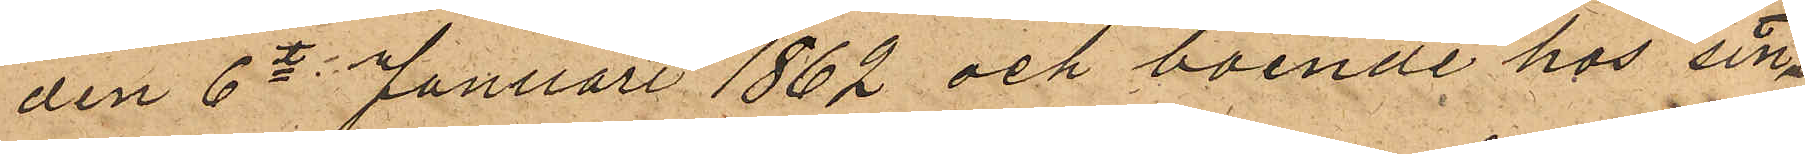den 6te Januari 1862 och boende hos sin
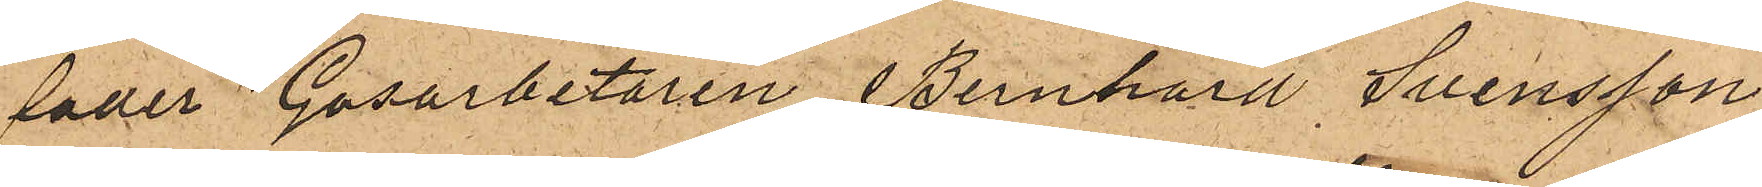fader Gasarbetaren Bernhard Svensson
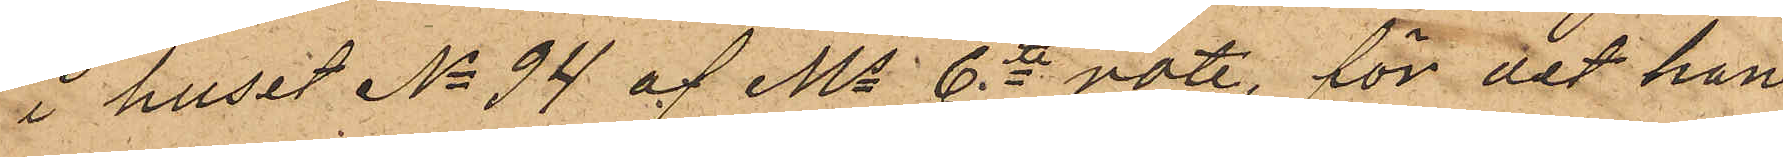i huset No 94 af Ms 6te rote, för det han
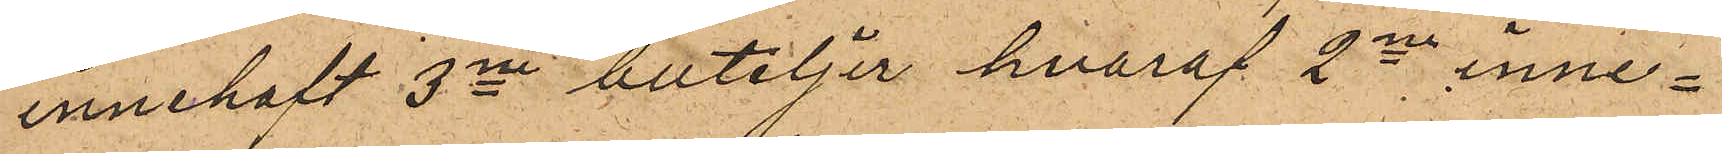innehaft 3ne buteljer, hvaraf 2ne inne¬
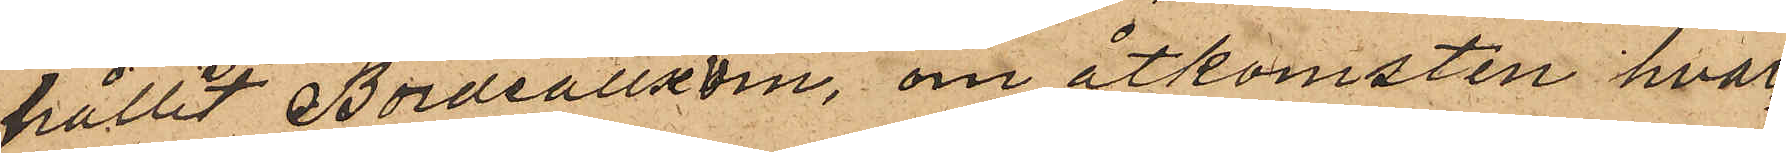hållit Bordeauxvin, om åtkomsten hvar¬
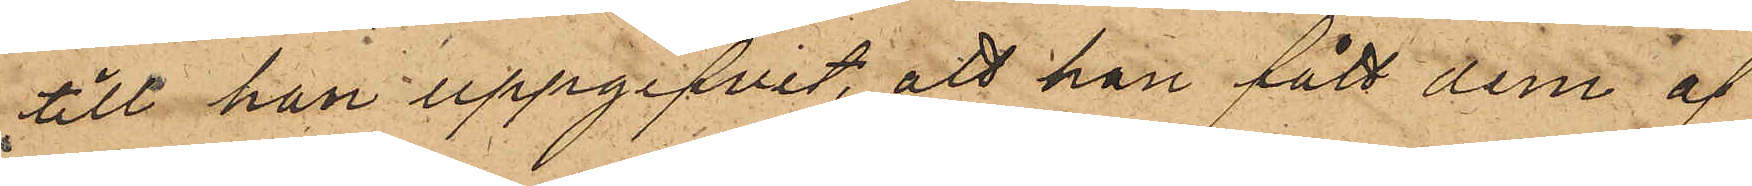till han uppgifvit, att han fått dem af
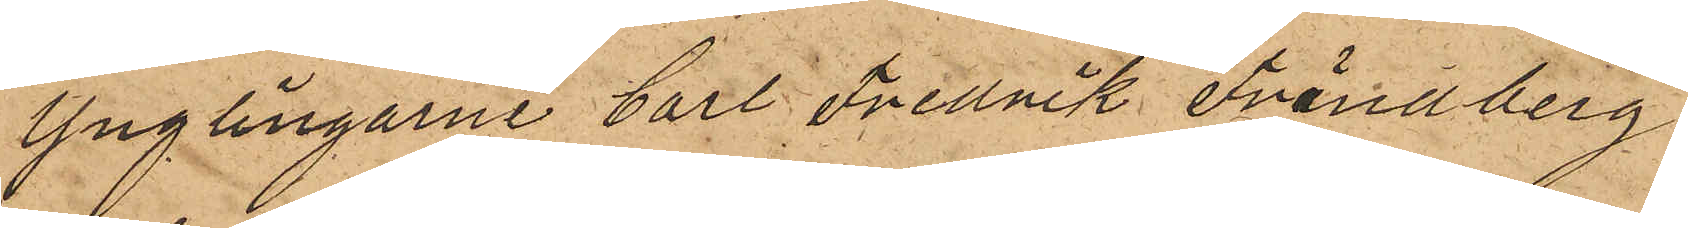Ynglingarne Carl Fredrik Frändberg
